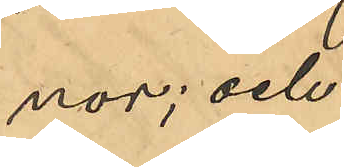nor; och
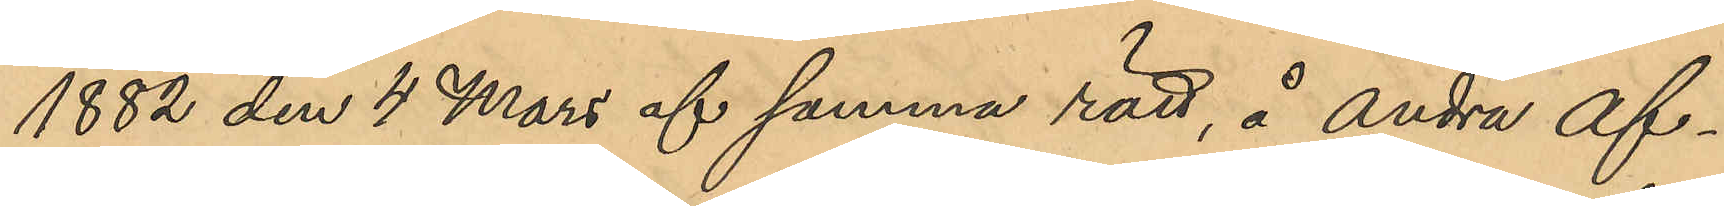1882 den 4 Mars af samma rätt, å andra af¬
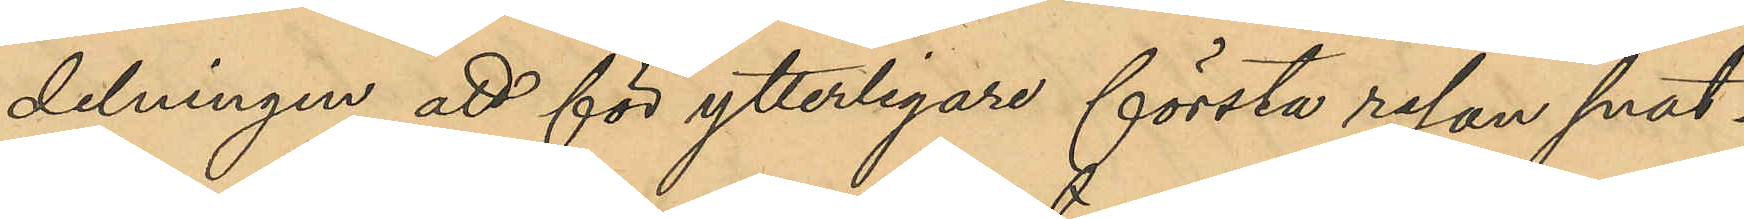delningen att för ytterligare första resan snat¬
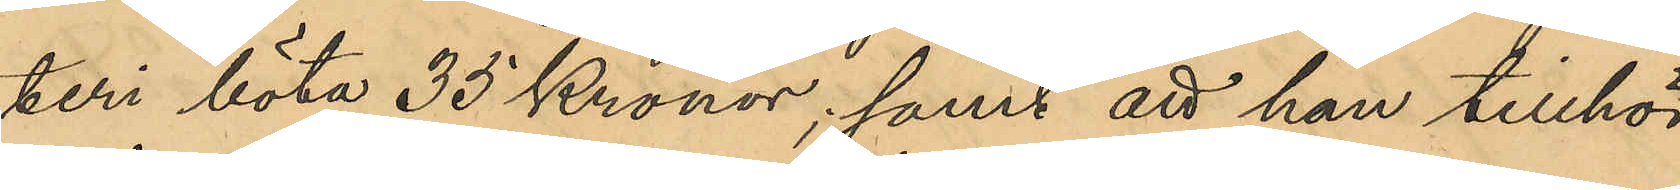teri böta 35 Kronor; samt att han tillhör
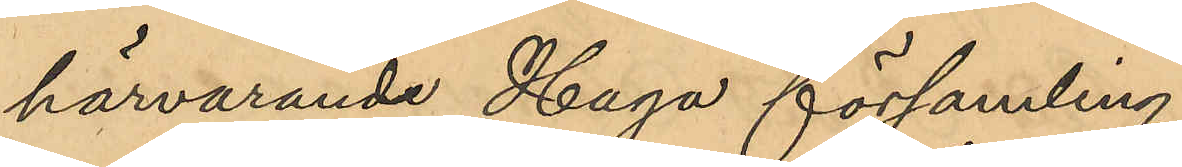härvarande Haga församling.
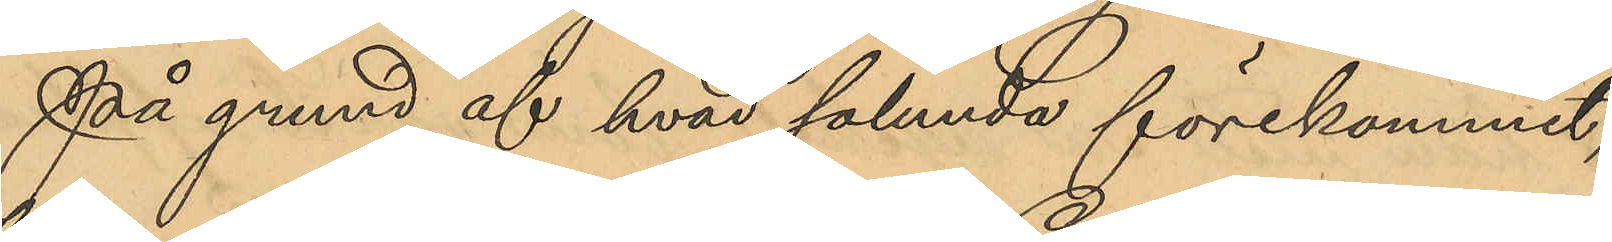På grund af hvad sålunda förekommit,
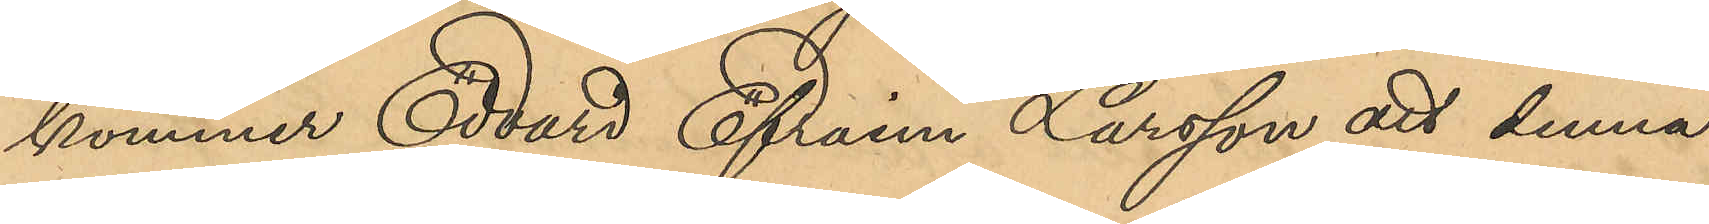kommer Edvard Efraim Larsson att denna 
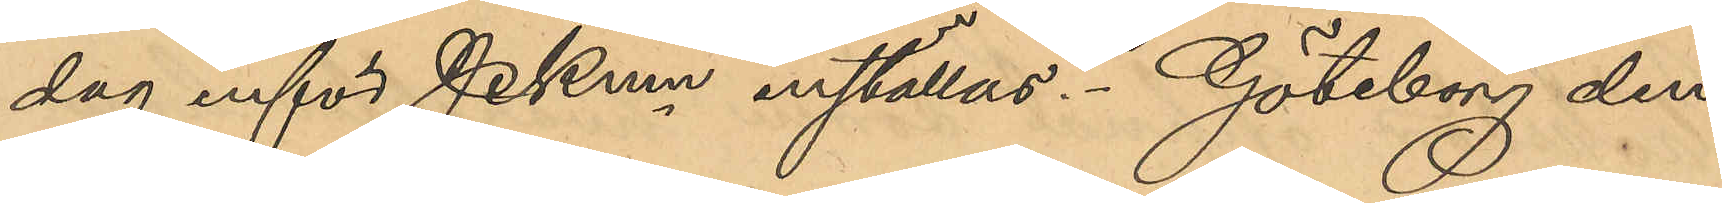dag inför Pkmn inställas. Göteborg den
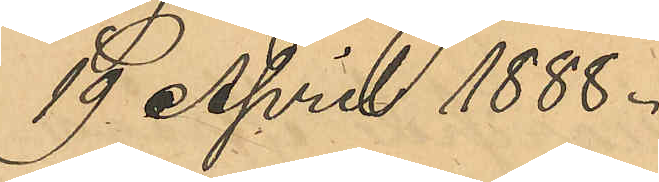19 April 1888.
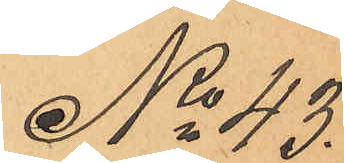No 43.
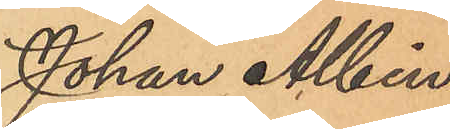Johan Albin
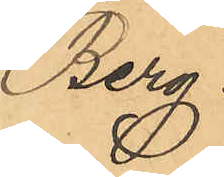Berg.
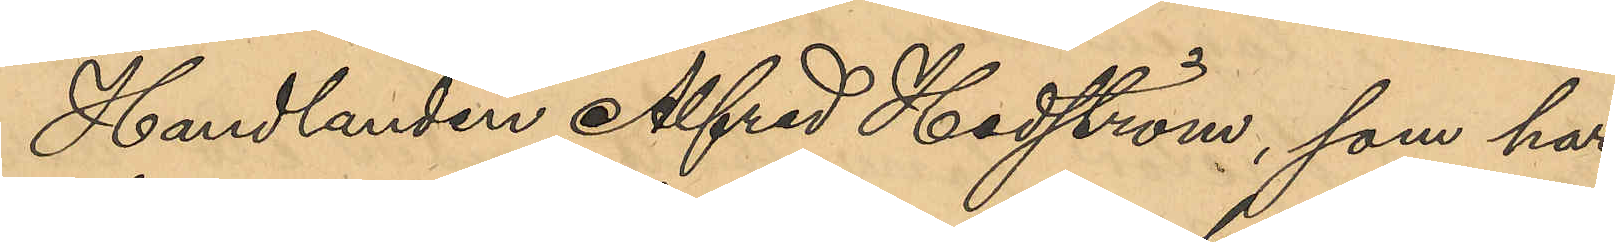Handlanden Alfred Hedström, som har
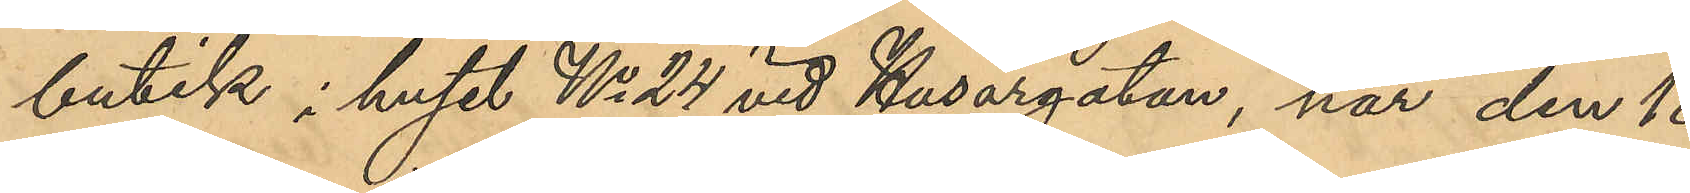butik i huset No 24 vid Husargatan, har den 18
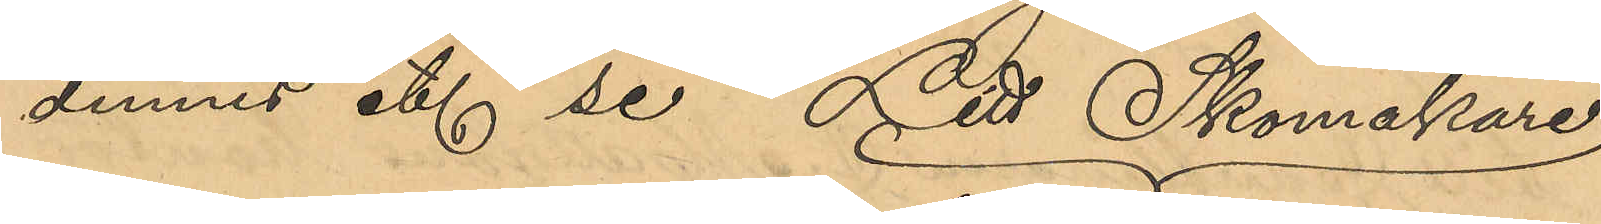dennes etc se Litt Skomakare
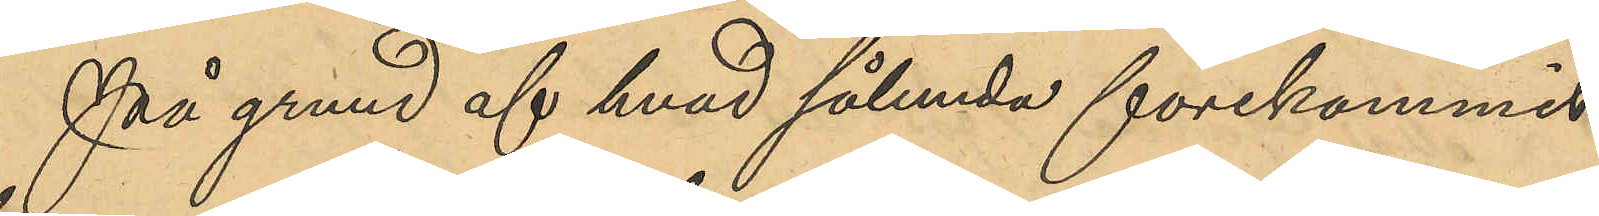På grund af hvad sålunda förekommit
